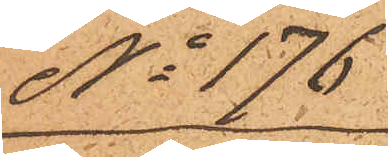No 176
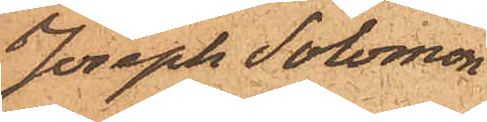Joseph Solomon
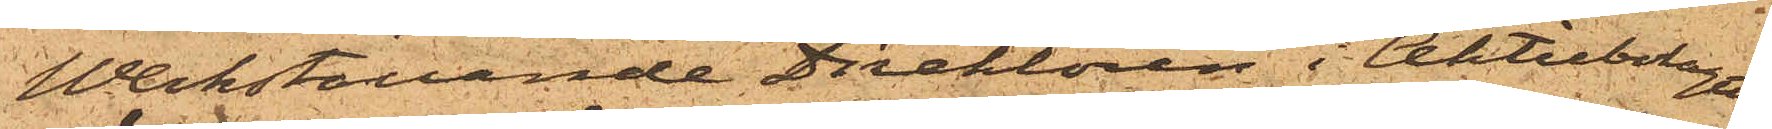Werkställande Direktören i Aktiebolaget
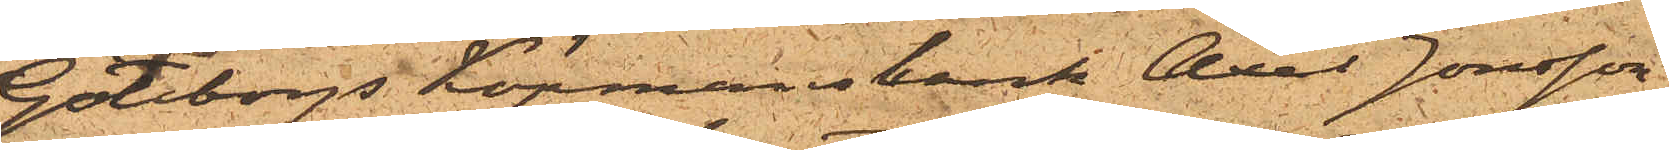Göteborgs Köpmansbark Axel Jonsson,
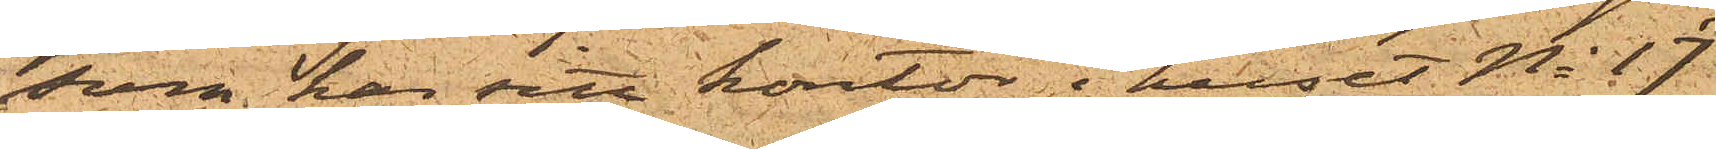som har sitt kontor i huset No 17
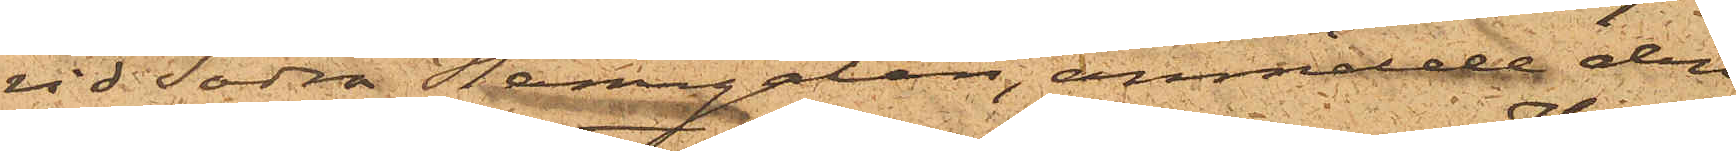vid Södra Hamngatan, anmälde den
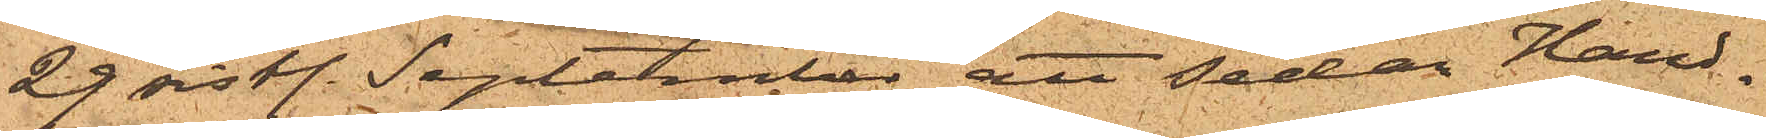29 sist. September att sedan Hand¬
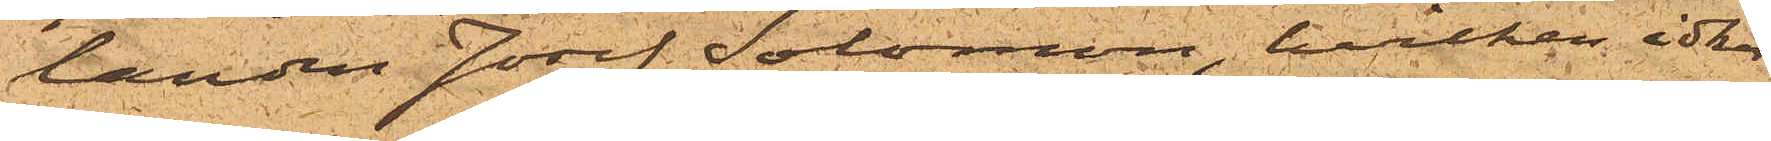landen Josef Solomon, hvilken idkar
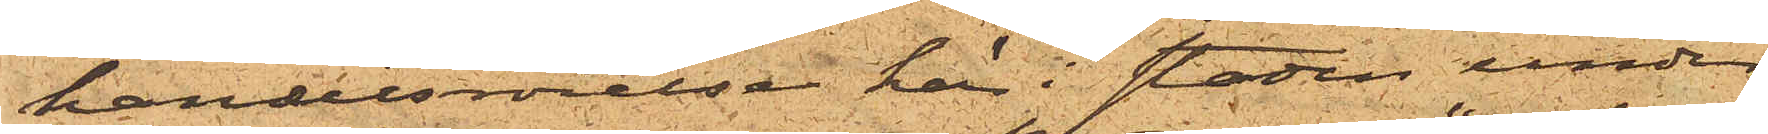handelsrörelse här i staden under
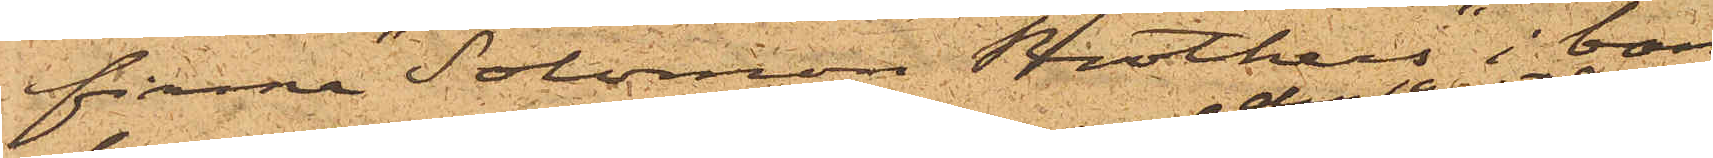firma "Solomon Brothers" i Lon¬
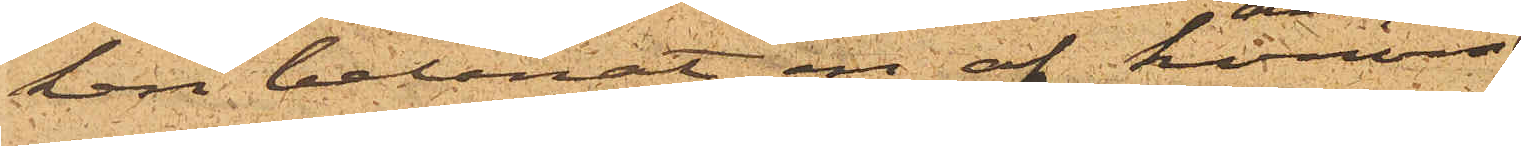don belånat en af honom
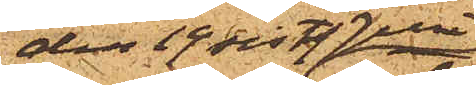den 19 sist. Juni
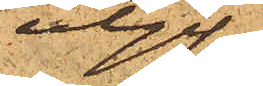utgif¬
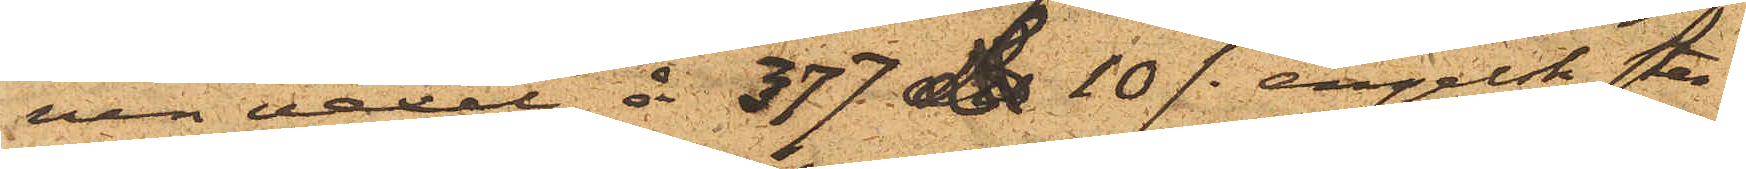nen vexel å 377£ 10 /- engelsk ster¬
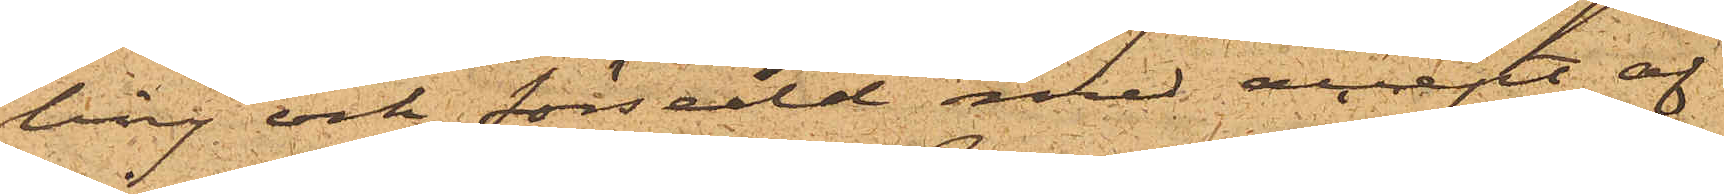ling och försedd med attest af
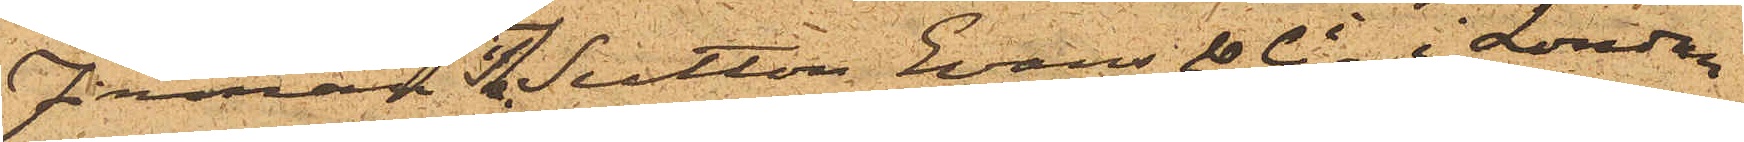firman The Sutton Evans & Co i London
